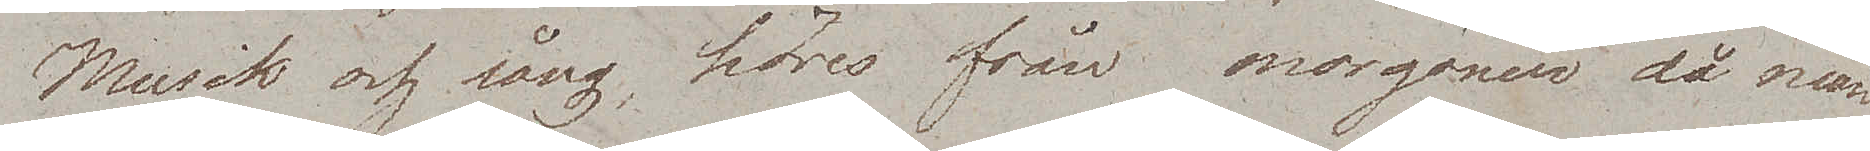Musik och sång höres från morgonen då man
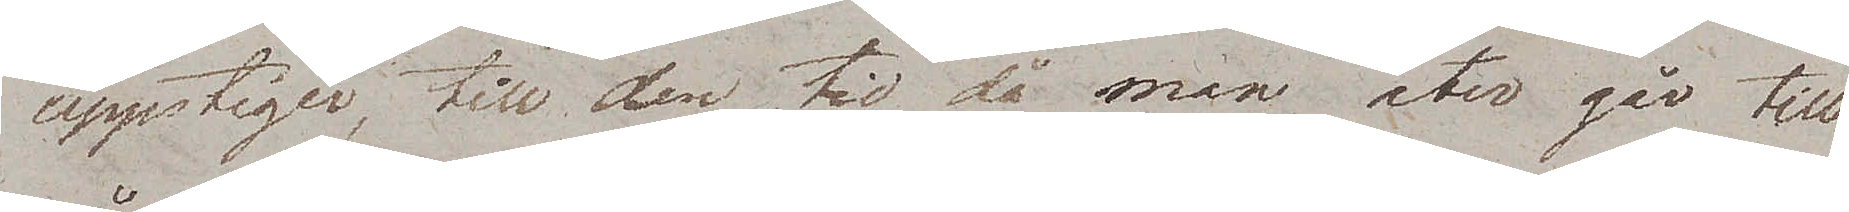uppstiger, till den tid då man åter går till
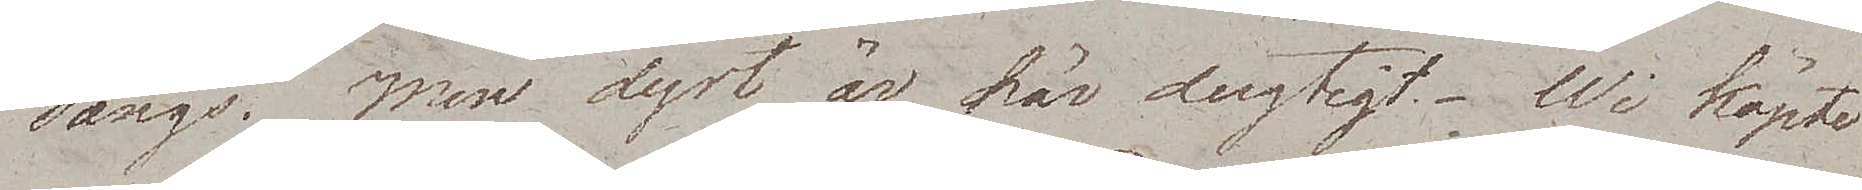sängs. Men dyrt är här dugtigt. Wi köpte
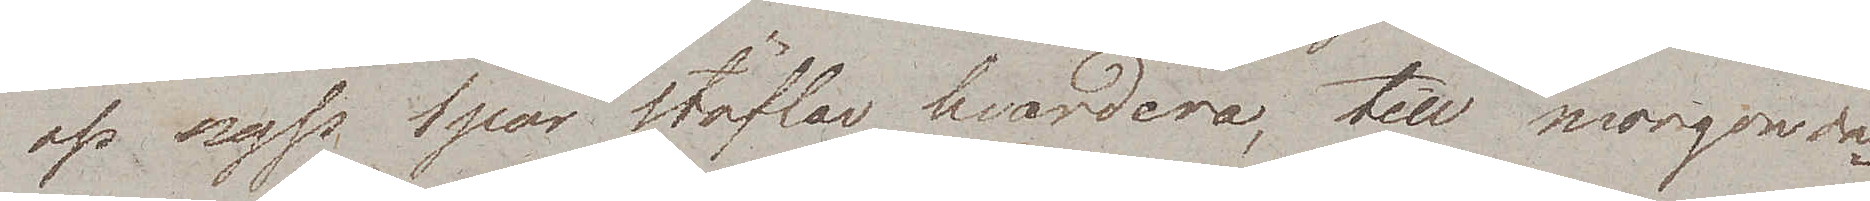oss nyss 1 par stöflar hvardera, till morgonda¬
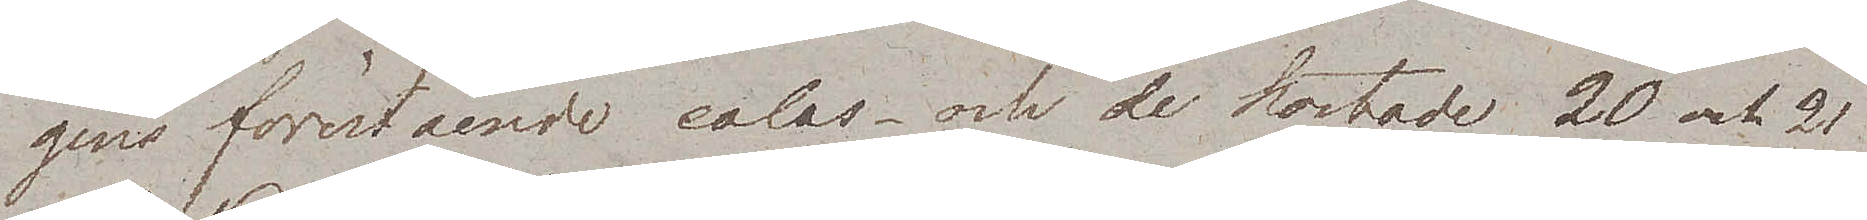gens förestående calas – och de kostade 20 och 21
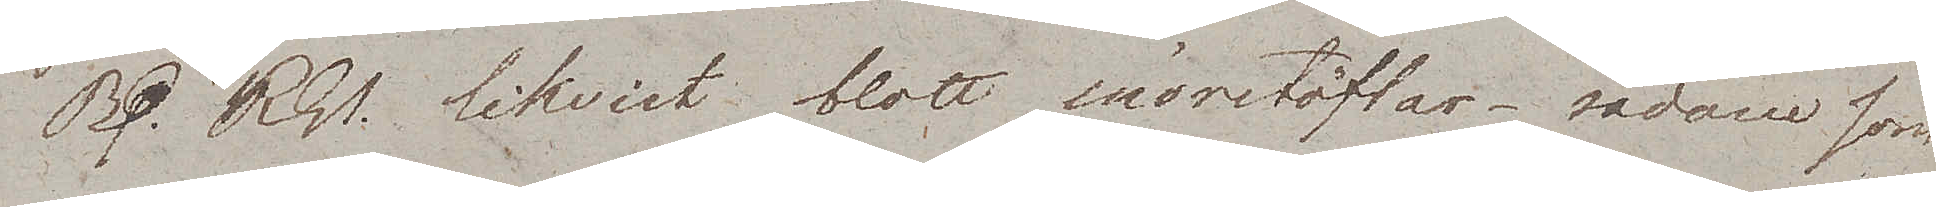Rdr. Rgs. likvist blott snörstöflar – sådane som
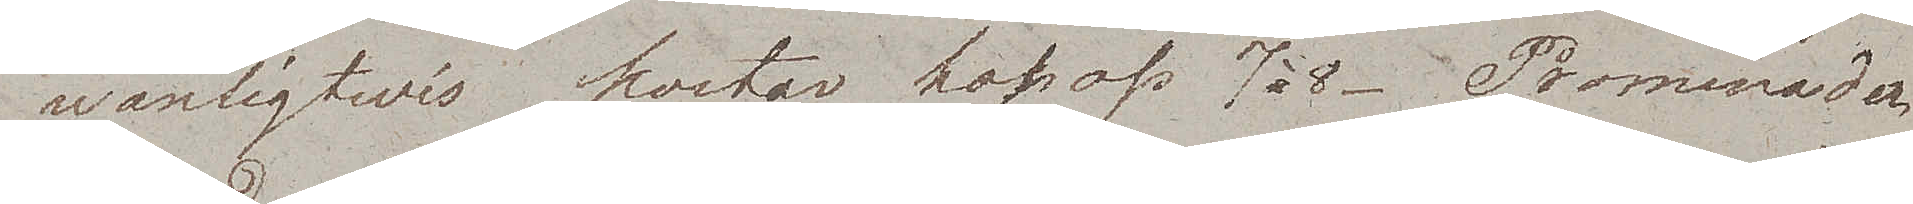wanligtwis kostar hos oss 7 à 8. Promenaden
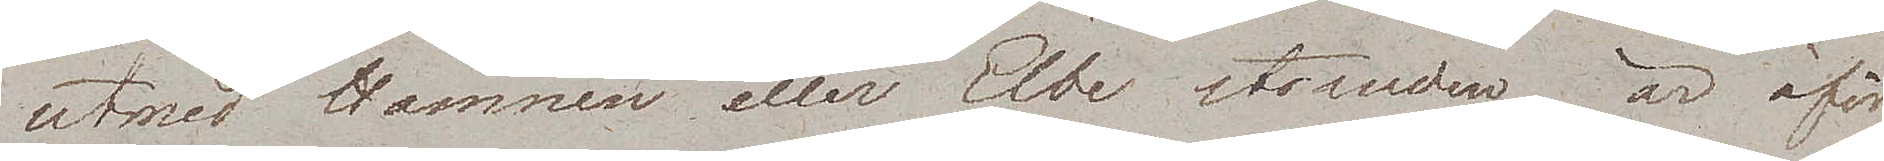utmed Hamnen eller Elbe stranden, är oför¬
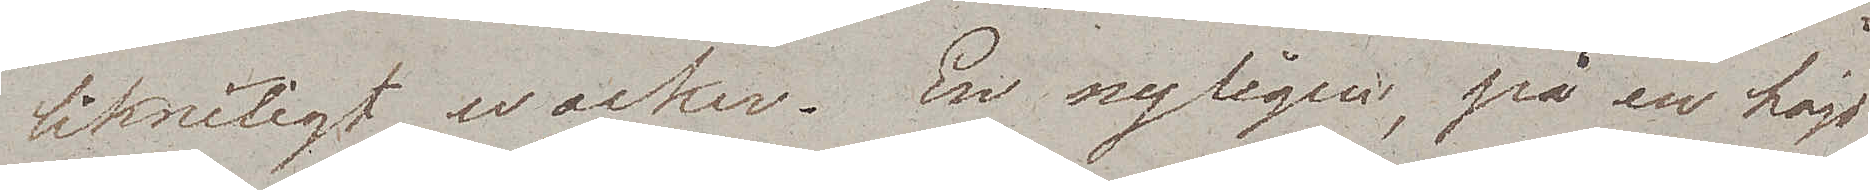likneligt wacker. En nyligen, på en höjd
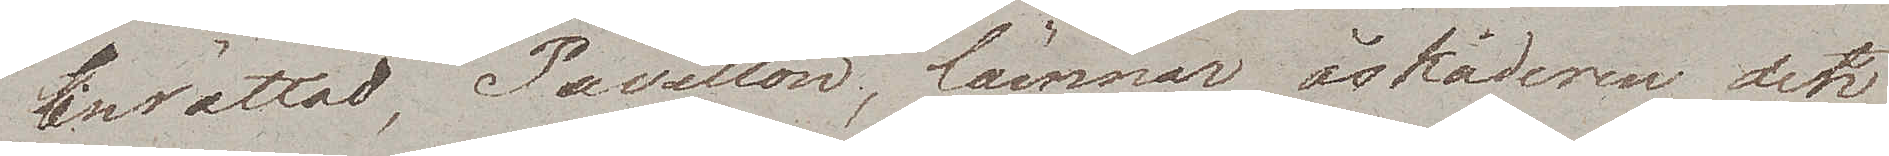inrättad, Pavillon, lämnar åskådaren den
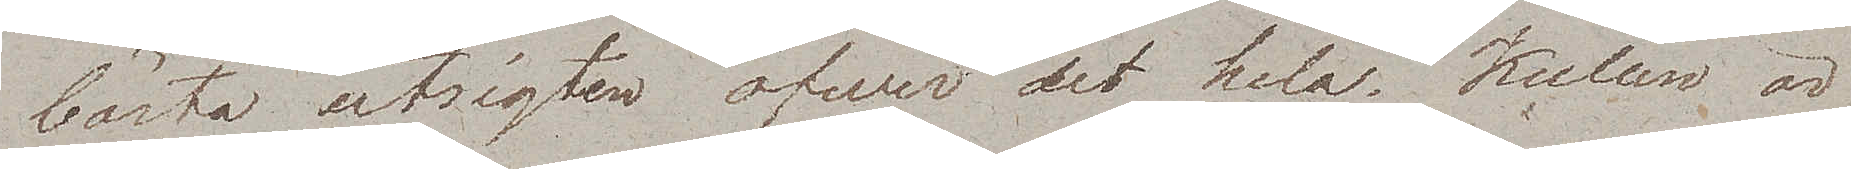bästa utsigten öfwer det hela. Kullen är
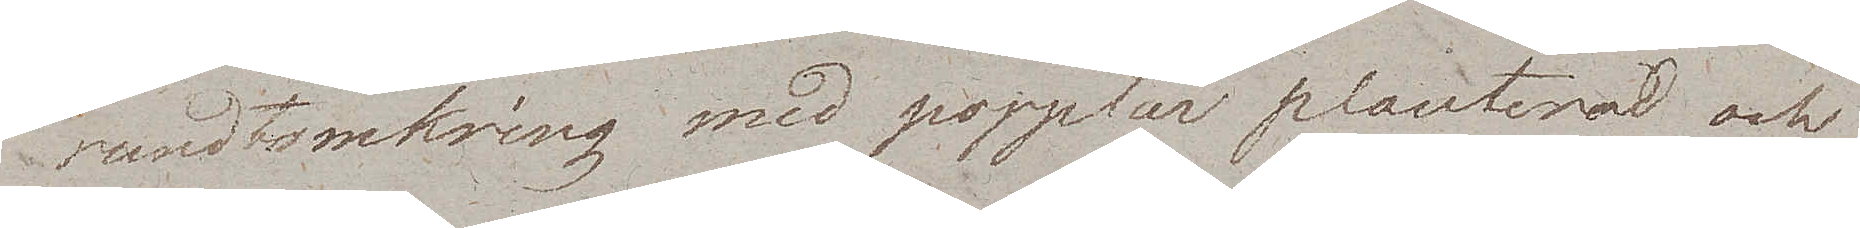rundtomkring med popplar planterad och
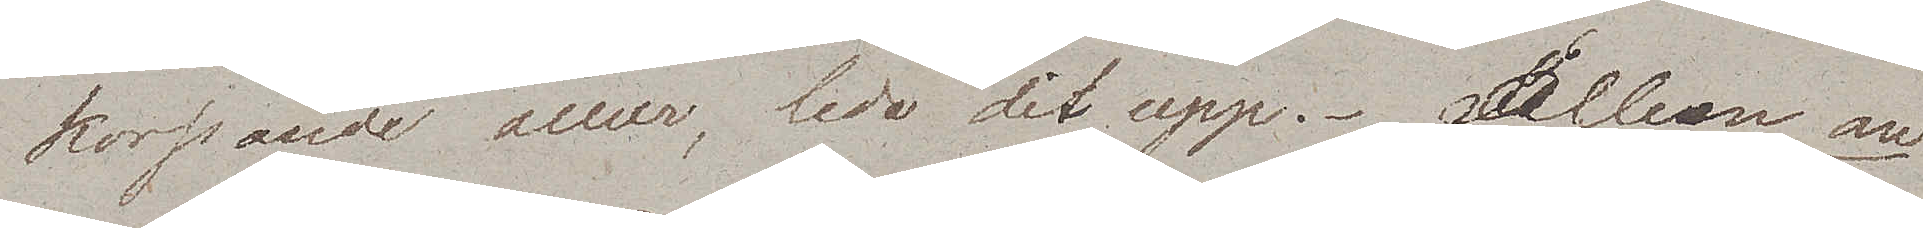korsande alleer, leda dit upp. Alleen an
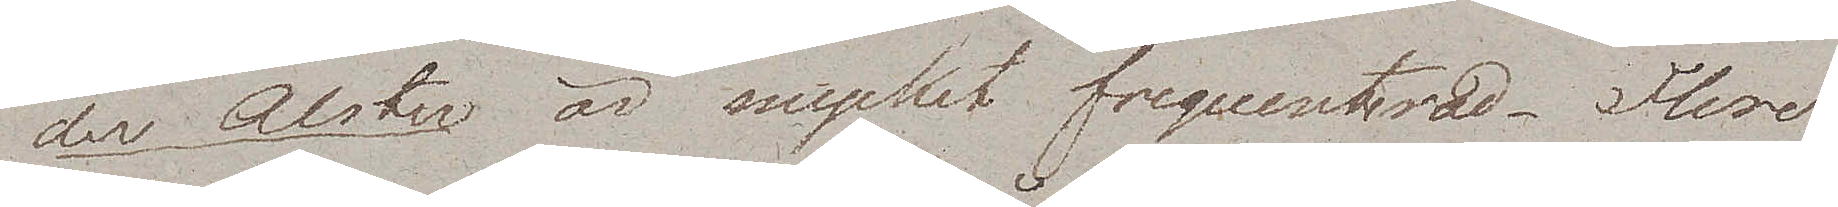der Alster är mycket frequenterad. Flere
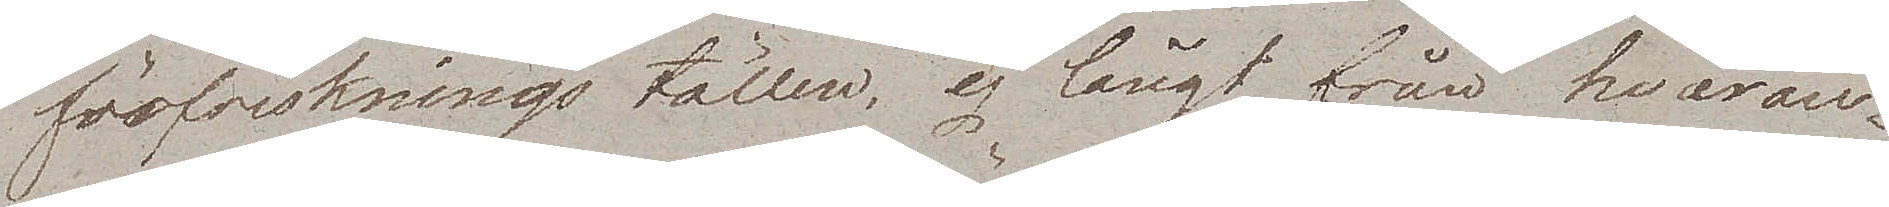förfriskningställen, ej långt från hvaran¬
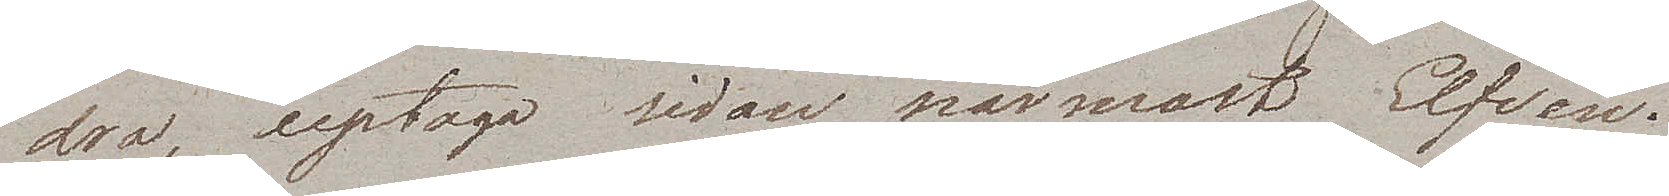dra, uptaga sidan närmast Elfven.
